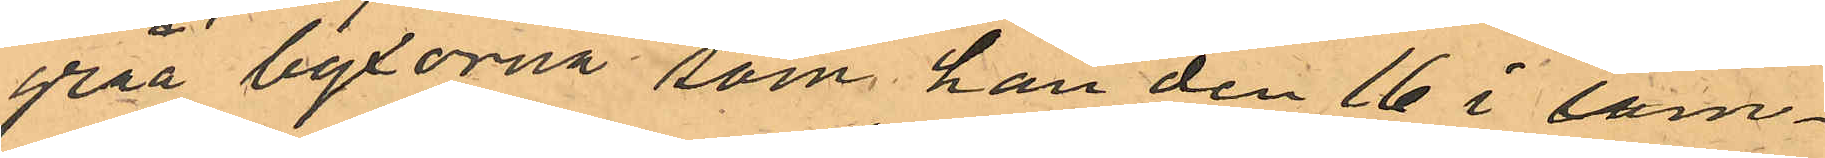gråa byxorna som han den 16 i sam¬
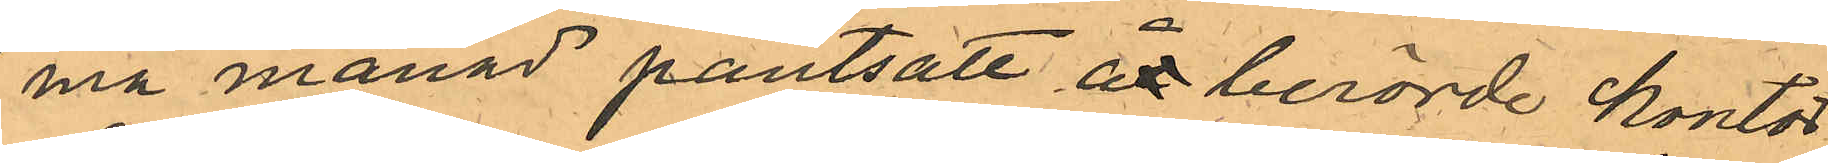ma månad pantsatt åt berörde kontor
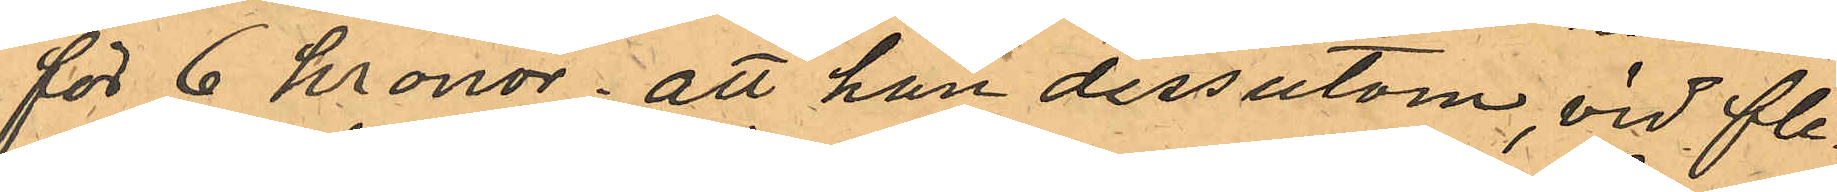för 6 kronor; att han dessutom, vid fle¬
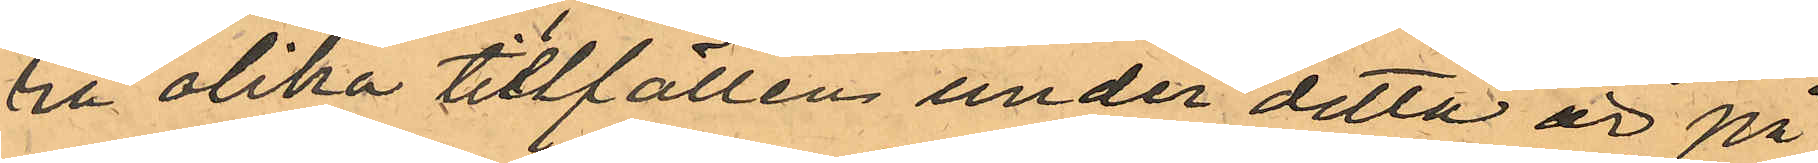ra olika tillfällen under detta år på
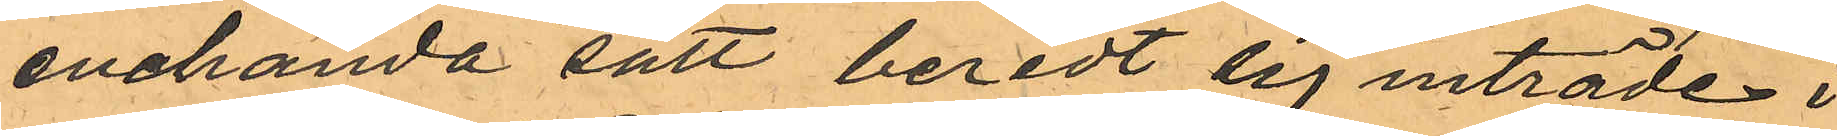enahanda sätt beredt sig inträde i
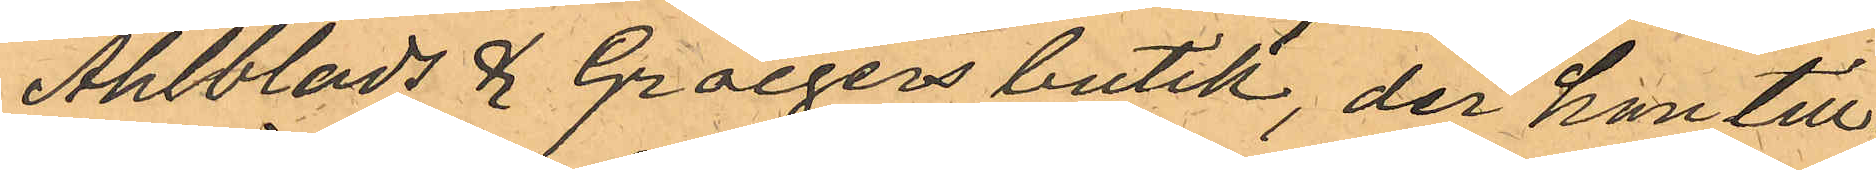Ahlblads & Groegers butik, der han till¬
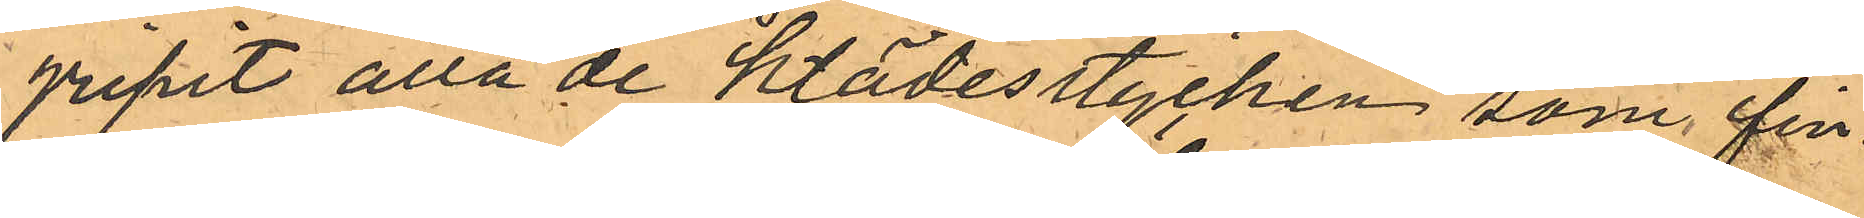gripit alla de klädesstycken som fin¬
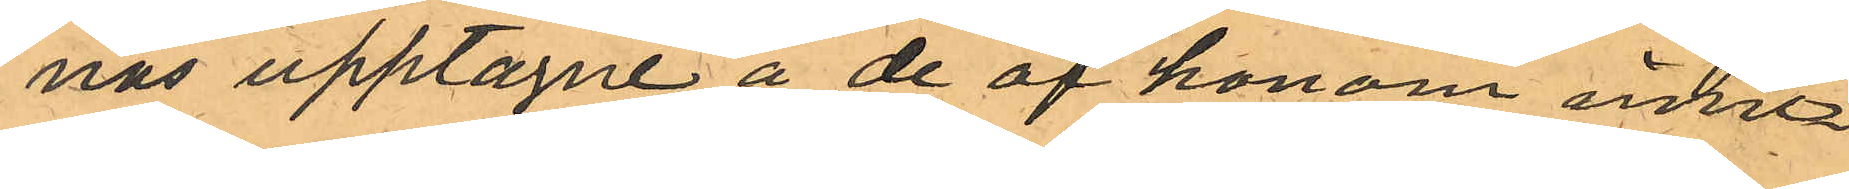nas upptagne å de af honom inne¬
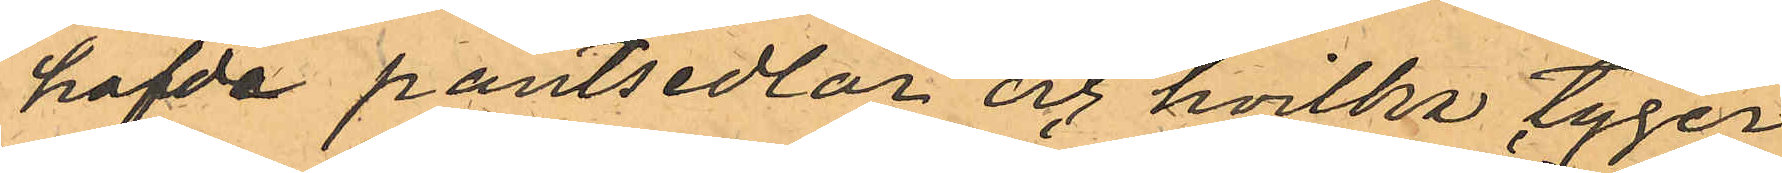hafde pantsedlar och hvilka tyger
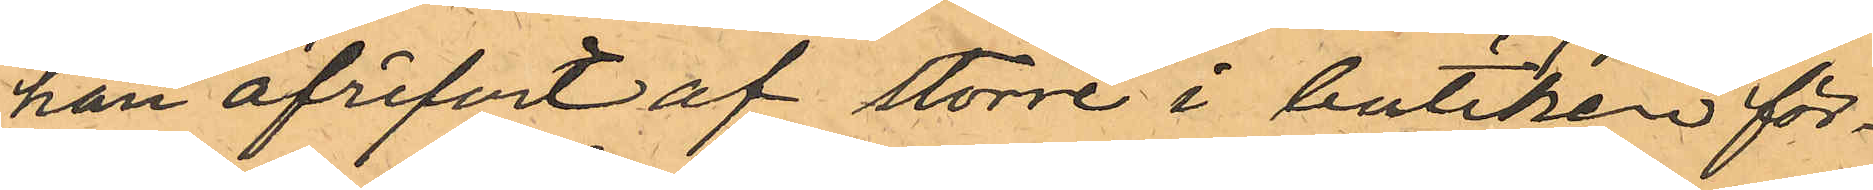han afrifvit af större i butiken för¬
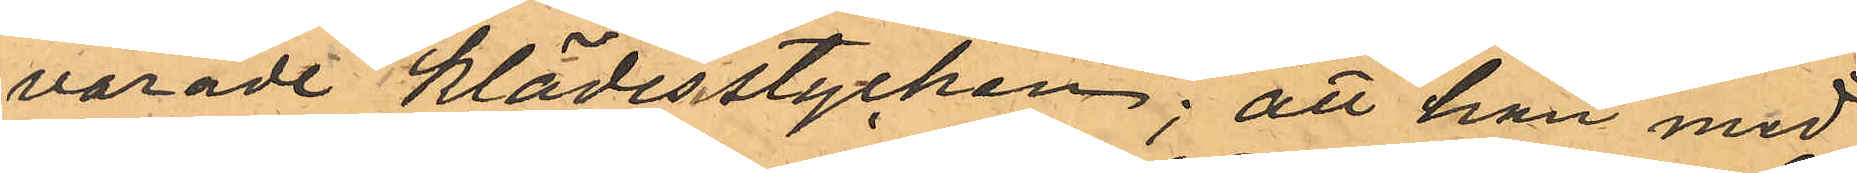varade Klädesstycken; att han med
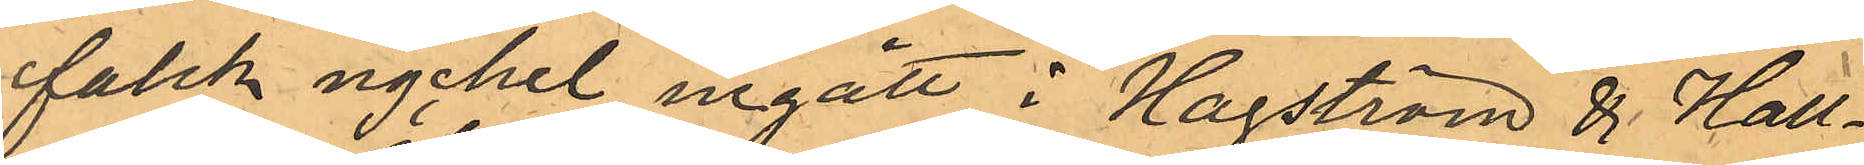falsk nyckel ingått i Hagström & Hall¬
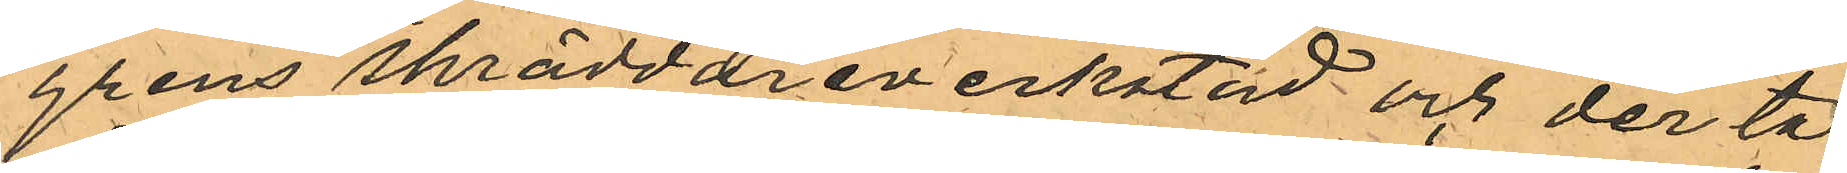grens skräddareverkstad och der ta¬
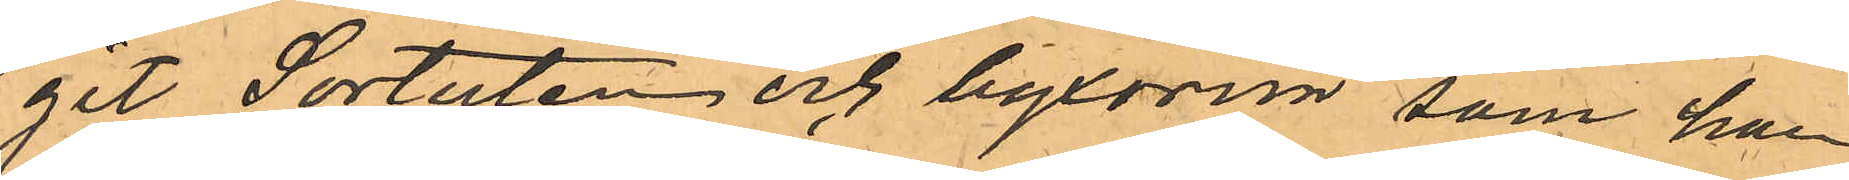git Sortuten och byxorna som han
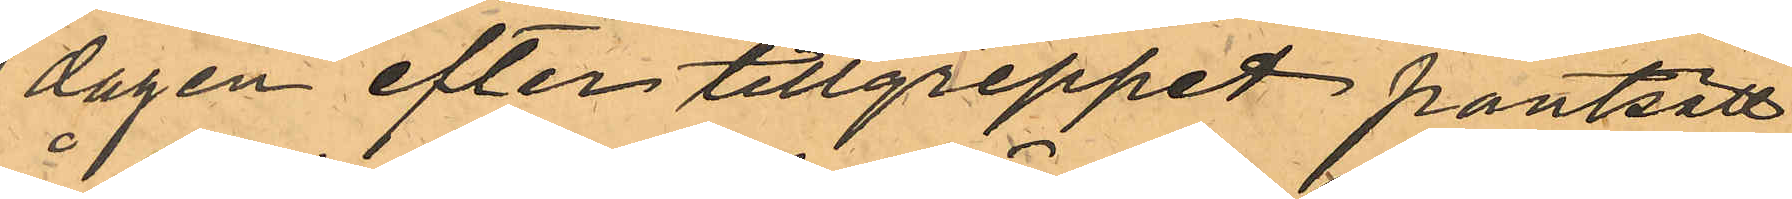dagen efter tillgreppet pantsatt
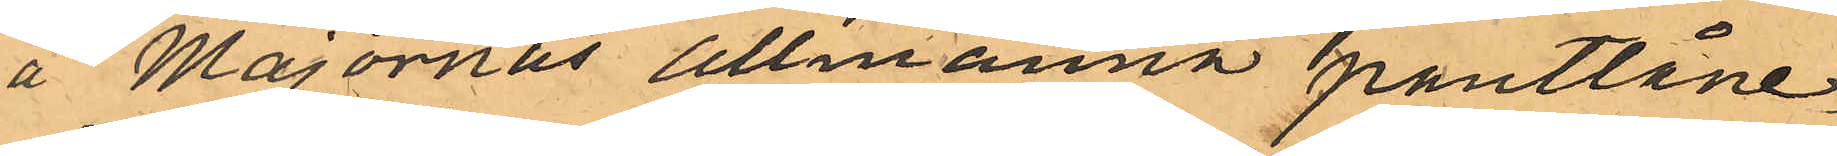å Majornas allmänna pantlåne¬
